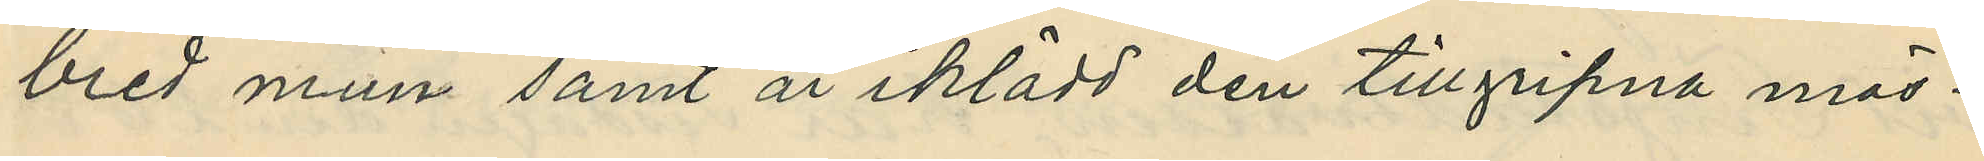bred mun samt är iklädd den tillgripna mös¬
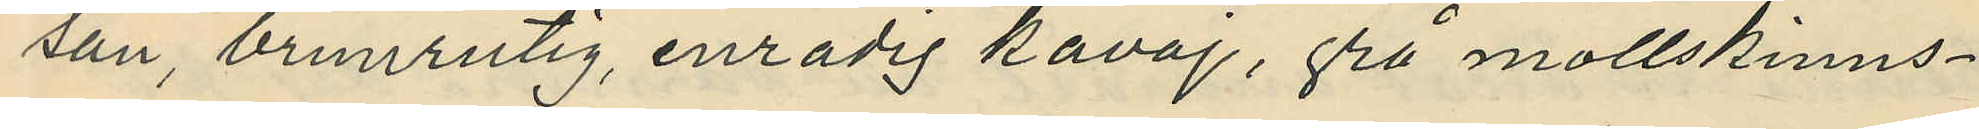san, brunrutig, enradig kavaj, grå mollskinns¬
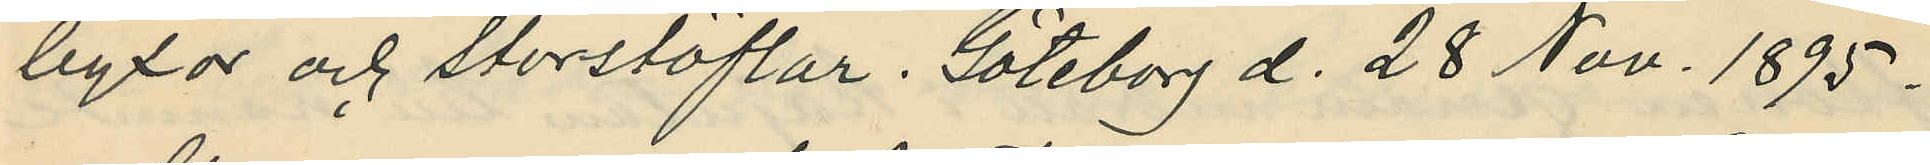byxor och storstöflar. Göteborg d. 28 Nov. 1895.
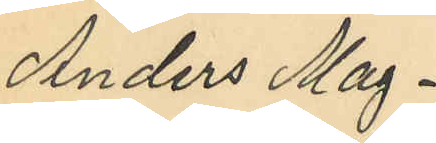Anders Mag¬
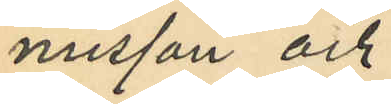nusson och
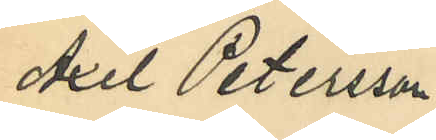Axel Petersson.
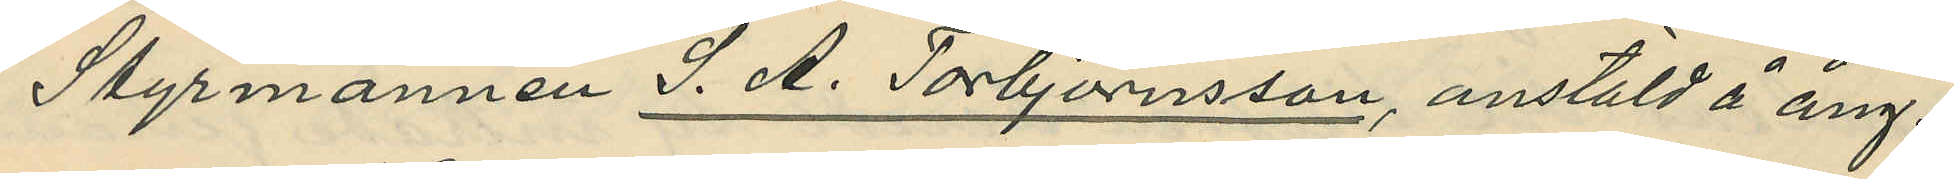Styrmannen J. A. Torbjörnsson, anstäld å ång¬
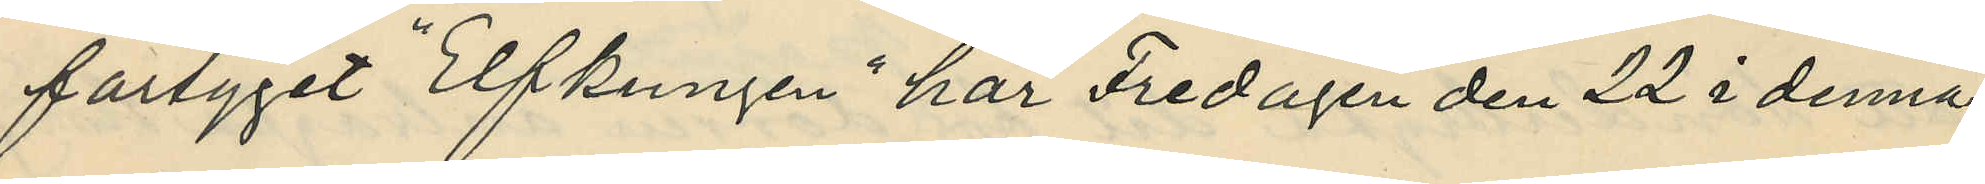fartyget "Elfkungen" har Fredagen den 22 i denna
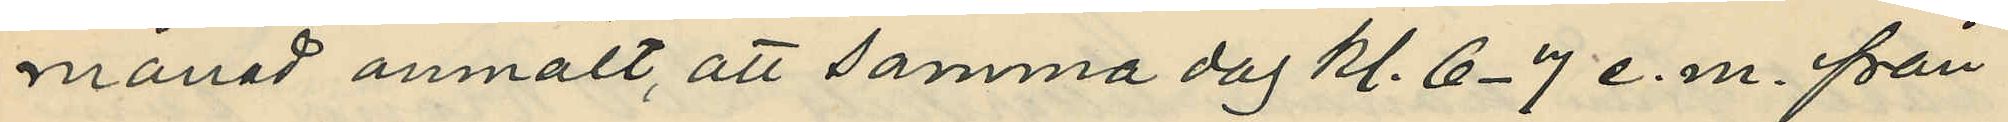månad anmält, att samma dag kl. 6-7 e. m. från
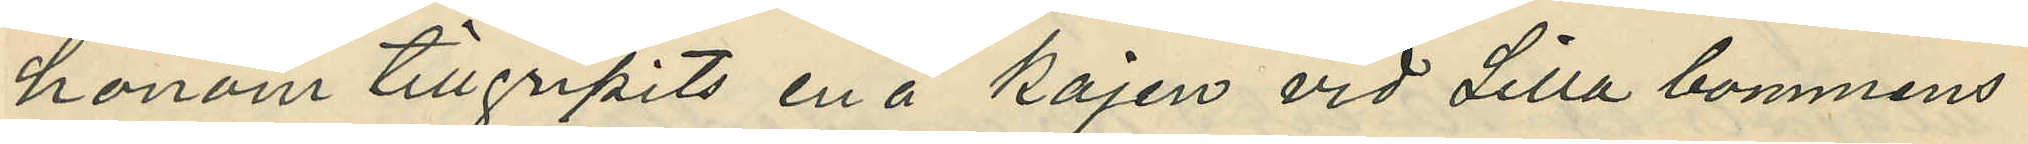honom tillgripits en å kajen vid Lilla bommens
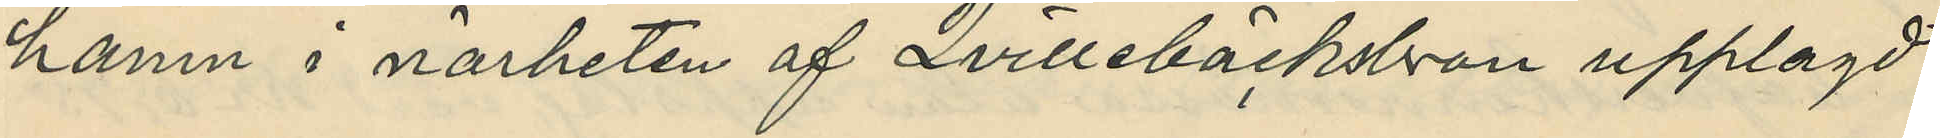hamn i närheten af Qvillebäcksbron upplagd
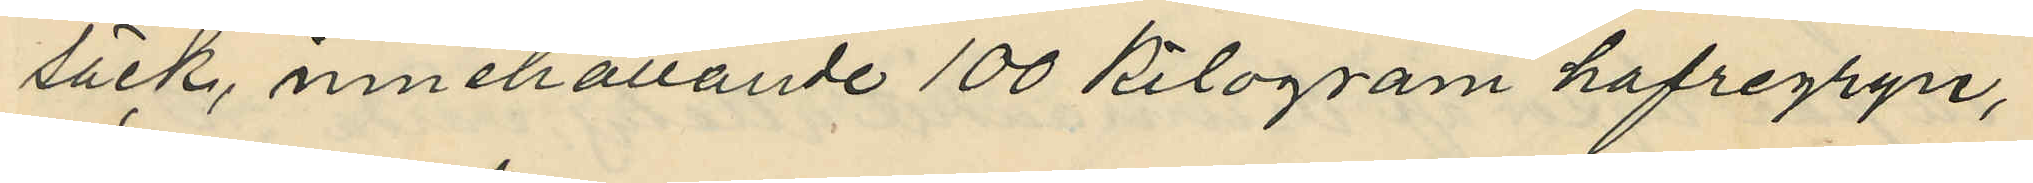säck, innehållande 100 kilogram hafregryn,
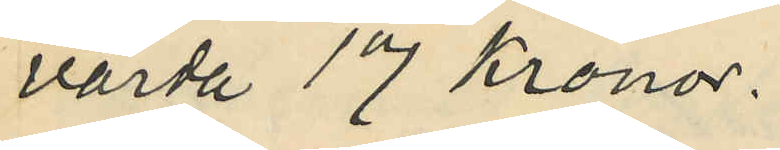värda 17 Kronor.
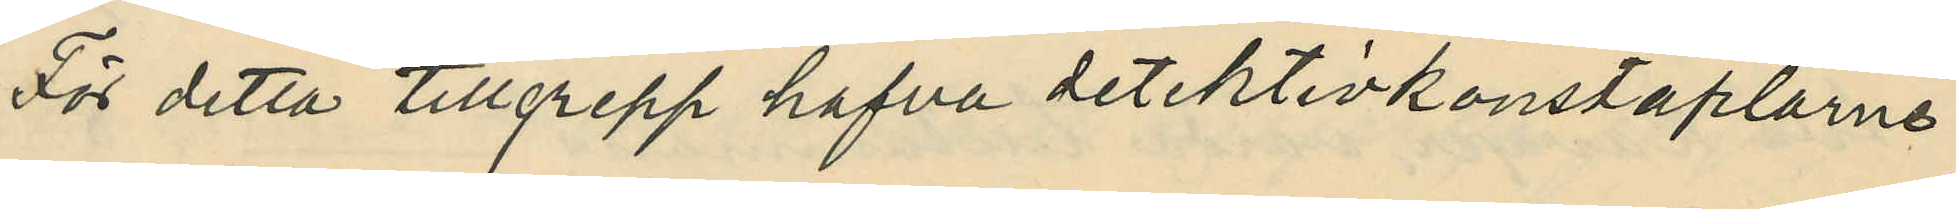För detta tillgrepp hafva detektivkonstaplarne
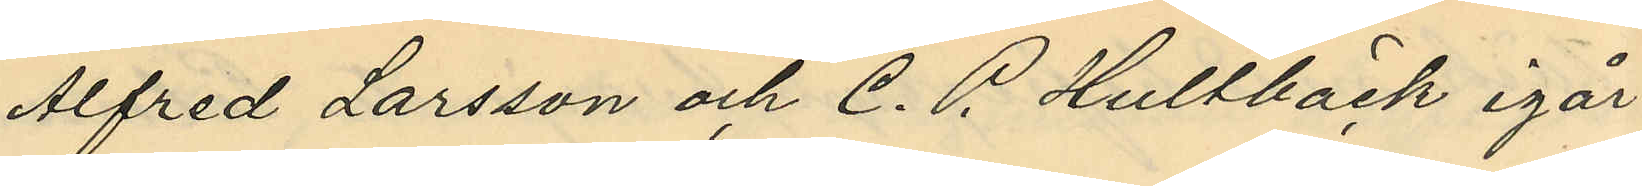Alfred Larsson och C. P. Hultbäck igår
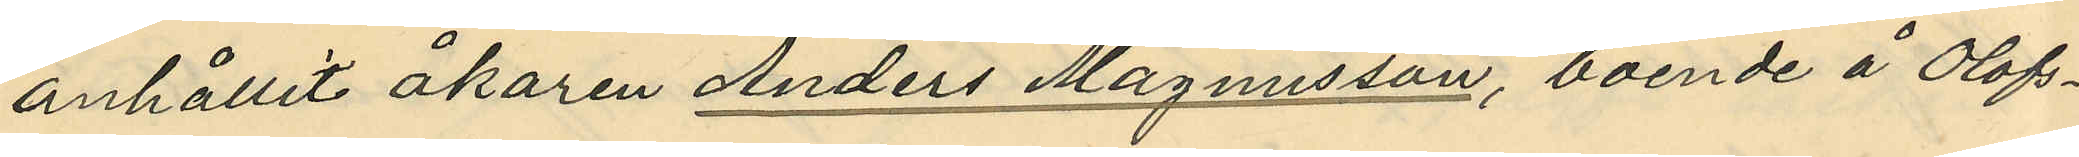anhållit åkaren Anders Magnusson, boende å Olofs¬
